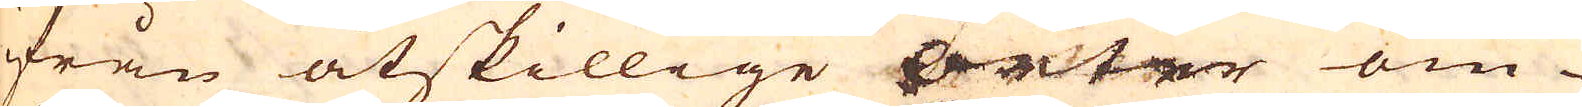ifrån åtskillige orter om-
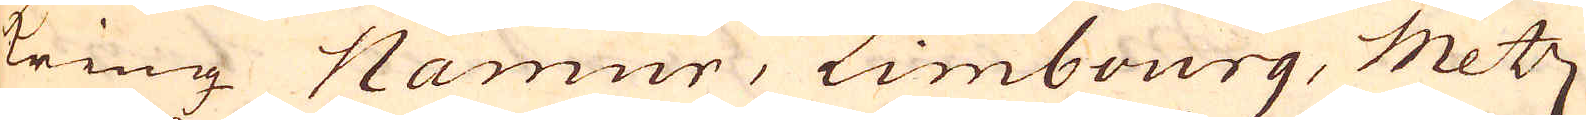kring Namur, Limbourg, Metz
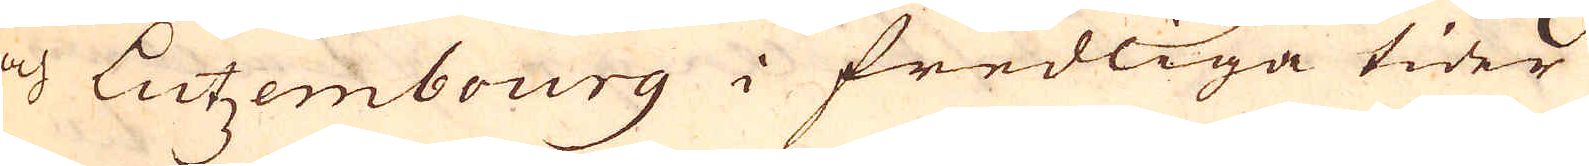och Lützembourg i fredliga tider
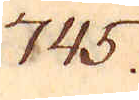745.
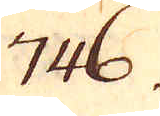746.
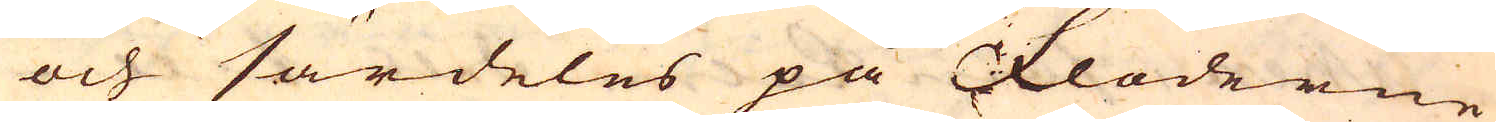och särdeles på Floderne
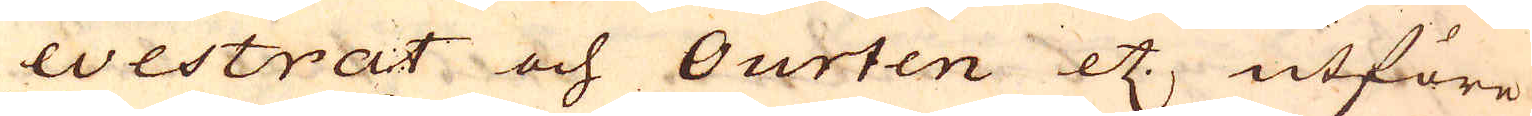Westrat och Ourten etc., utföre
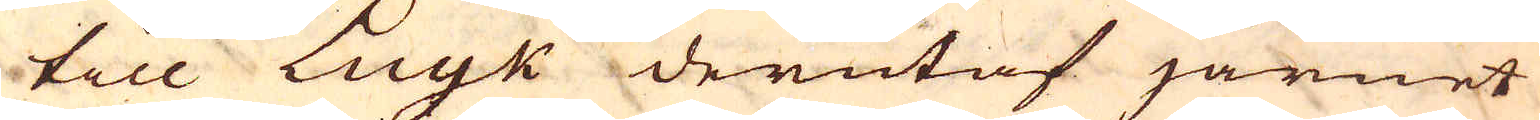till Luyk derutaf järnet
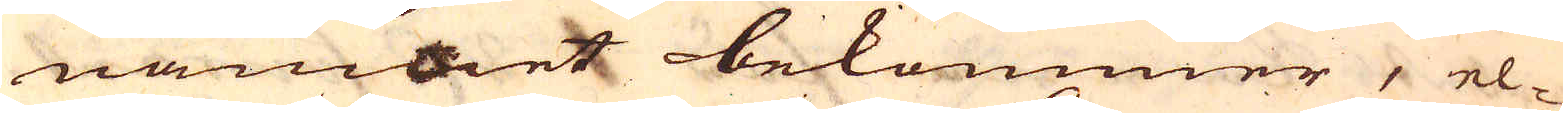namnet bekommer, el-
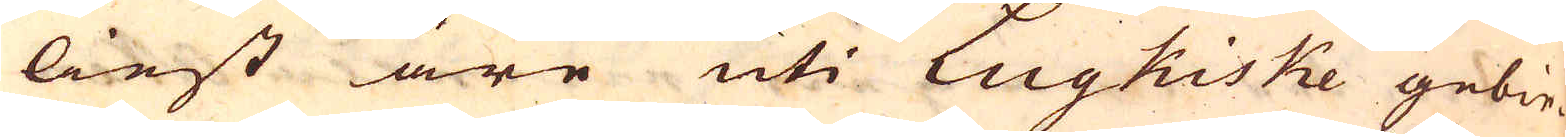liest äre uti Lugkiske gebie-
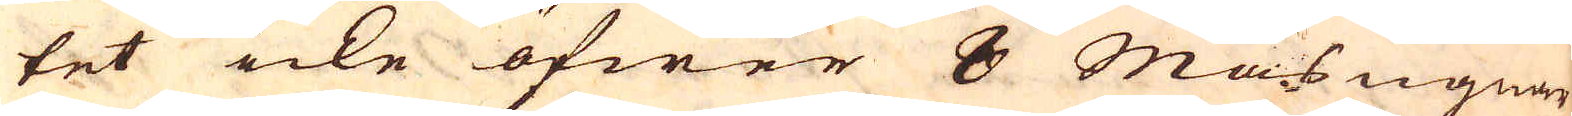tet icke öfwer 8 Masugnar
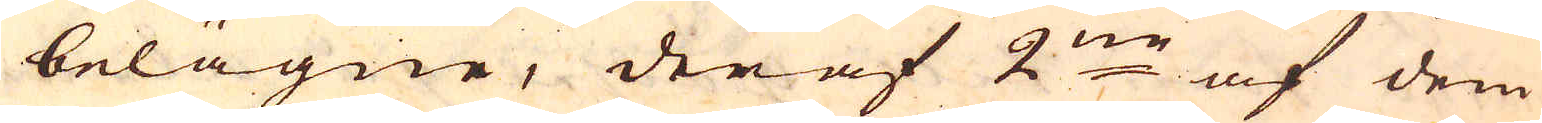belägne, deraf 2:ne af dem
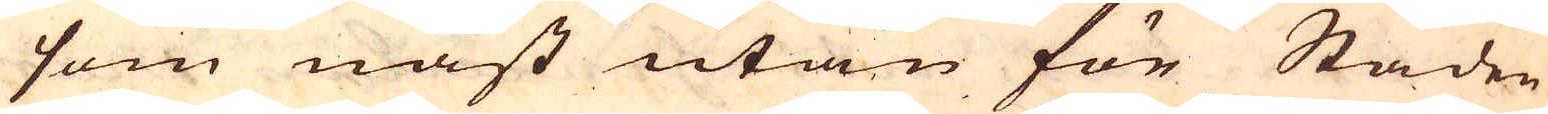som näst utan för Staden
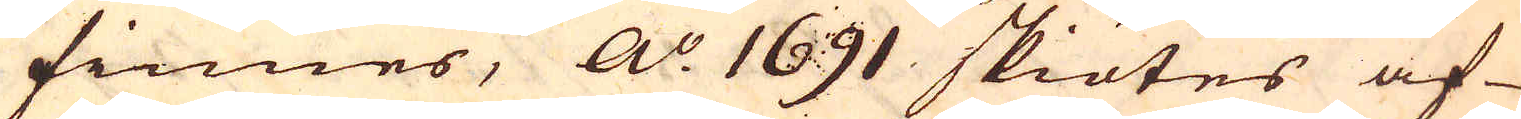finnes, A:o 1691 skiötes af-
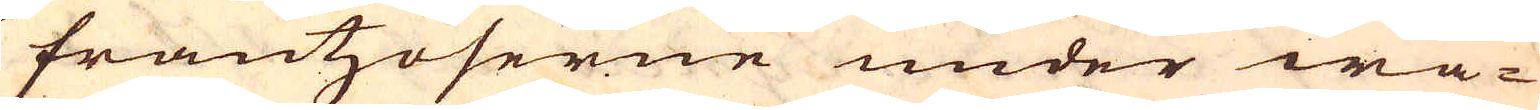frantzoserne under wa-
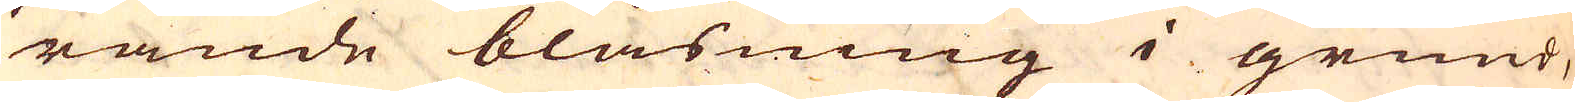rande blåsning i grund,
